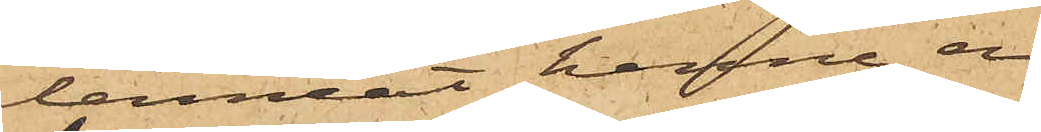lemnat henne en
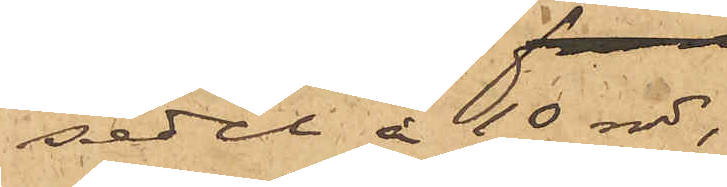sedel å 10 rdr,
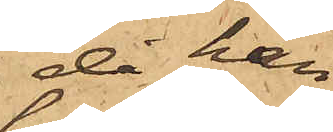då han
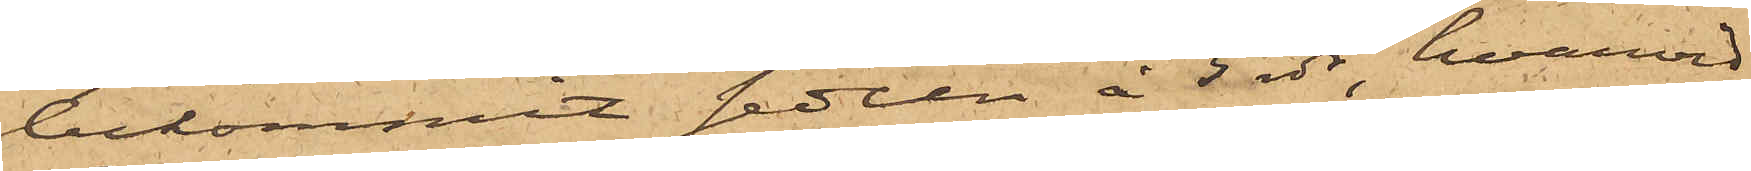bekommit sedeln å 5 rdr, hvarvid
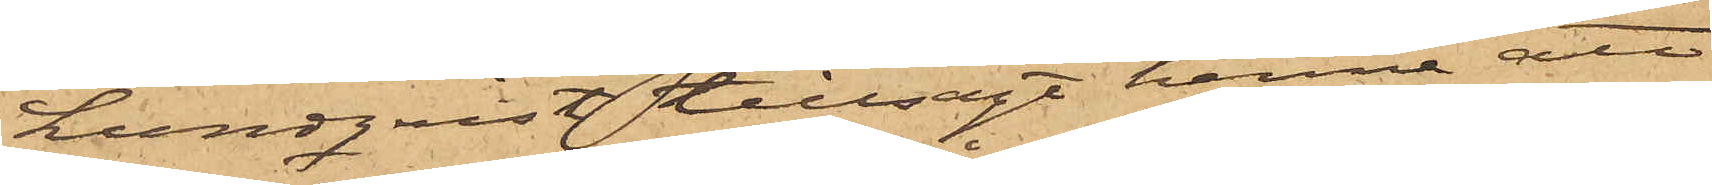Lundqvist tillsagt henne att
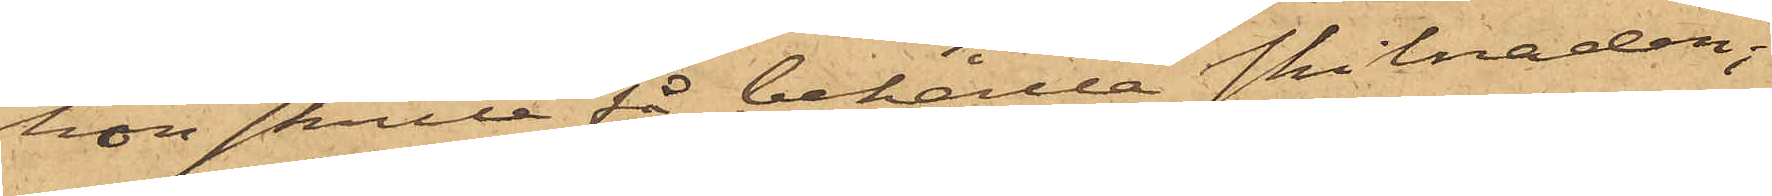hon skulle få behålla skilnaden;
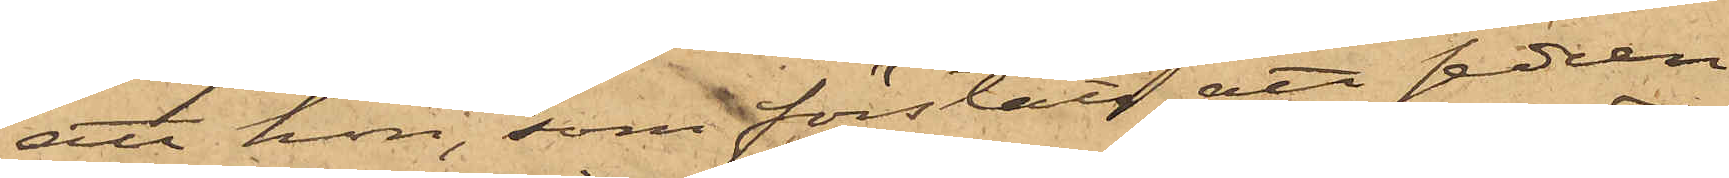att hon, som förstått att sedeln
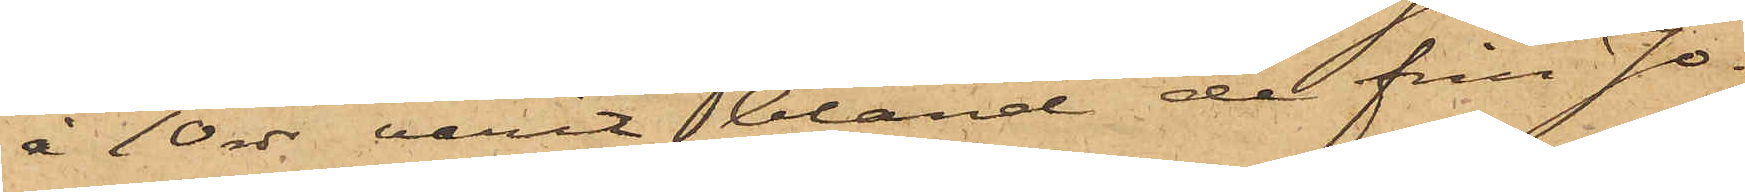å 10 rdr varit bland de från Jo¬
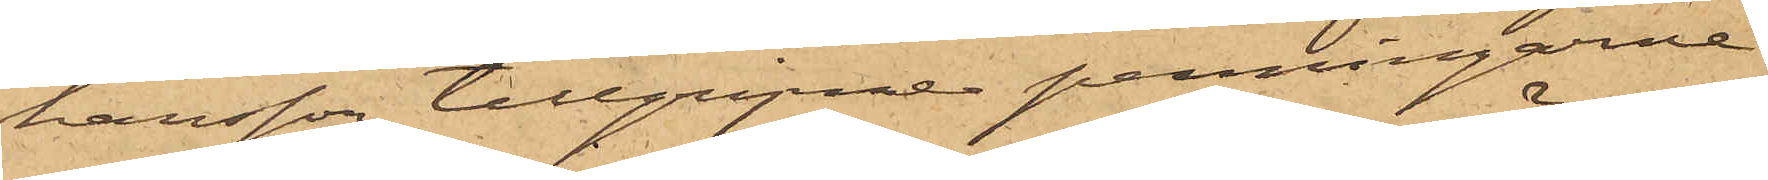hansson tillgripne penningarne
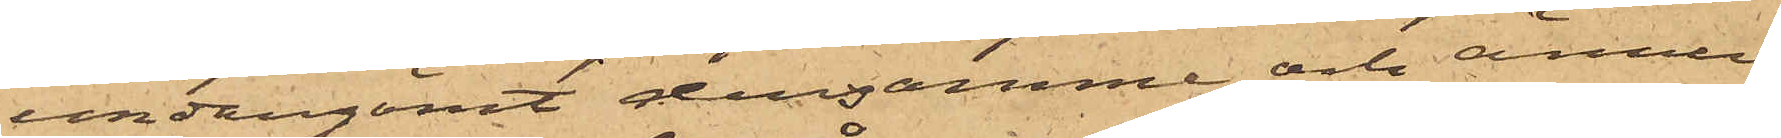undangömt densamme och ännu
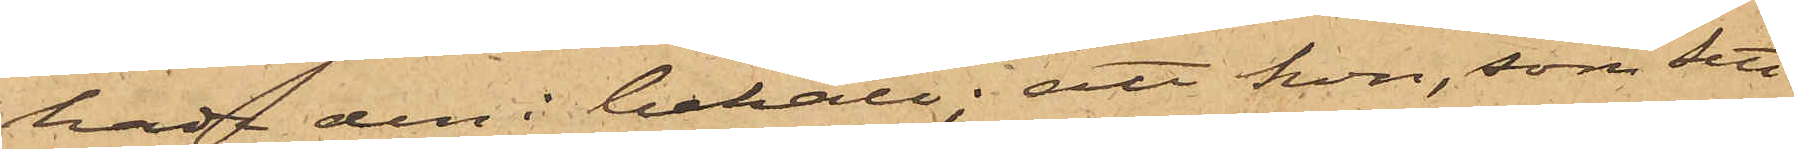hade den i behåll; att hon, som sett
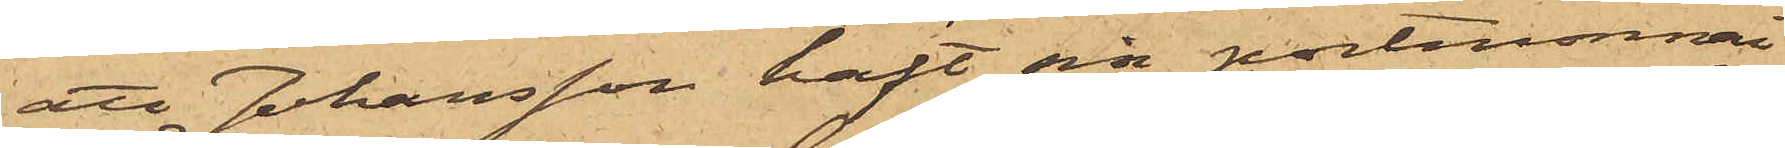att Johansson haft sin portmonnai
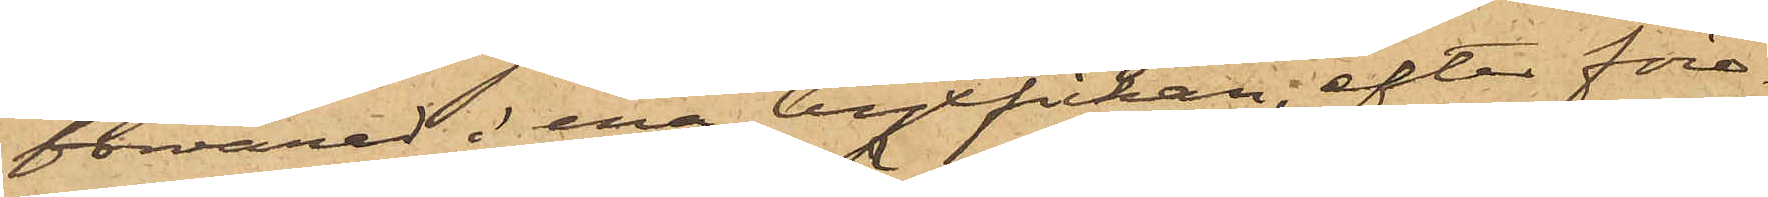förvarad i ena byxfickan, efter före¬
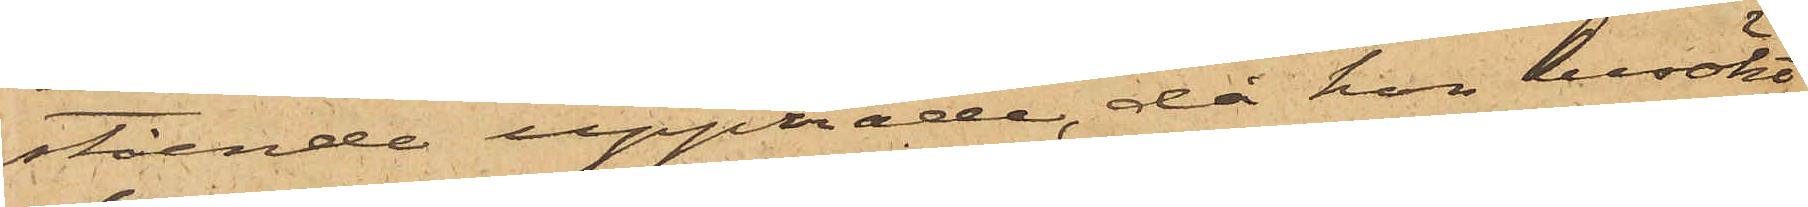stående uppträde, då hon besökt
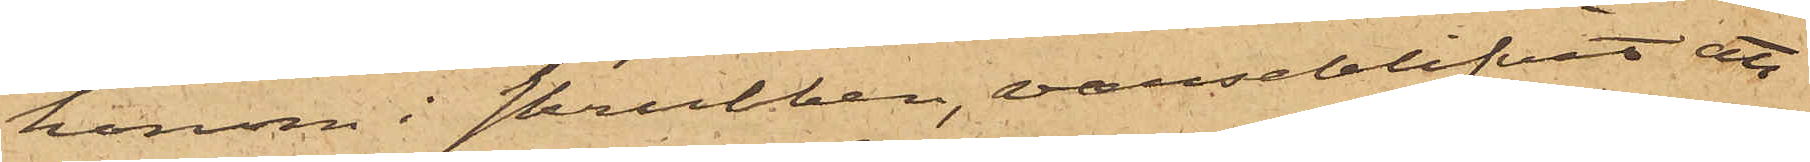honom i skrubben, varseblifvit att
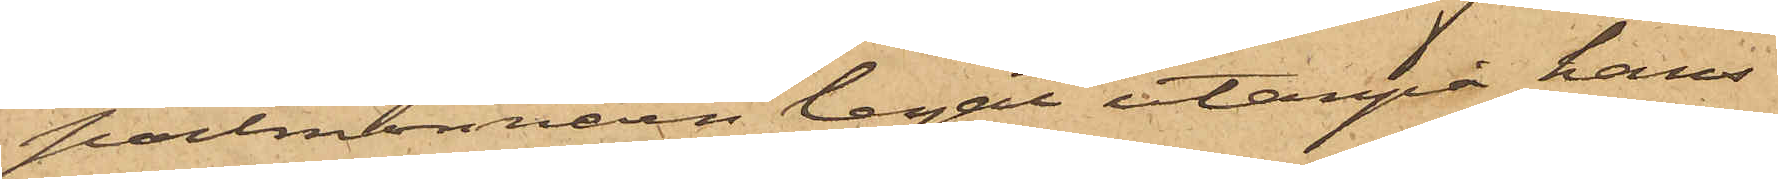portmonnaien legat utanpå hans
